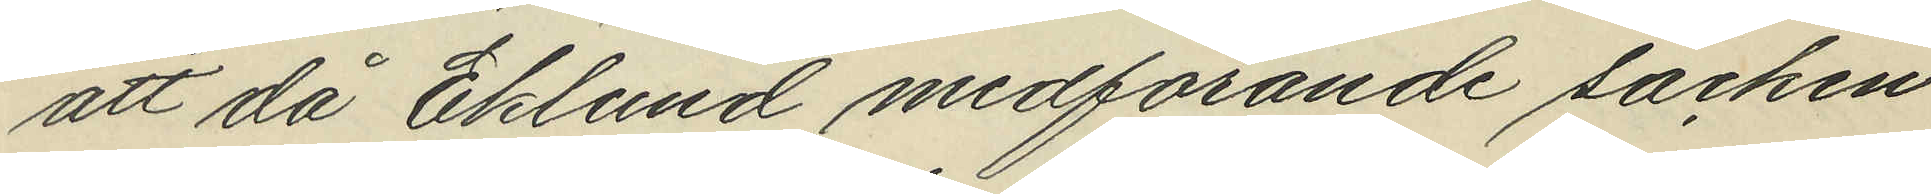att då Eklund medförande säcken
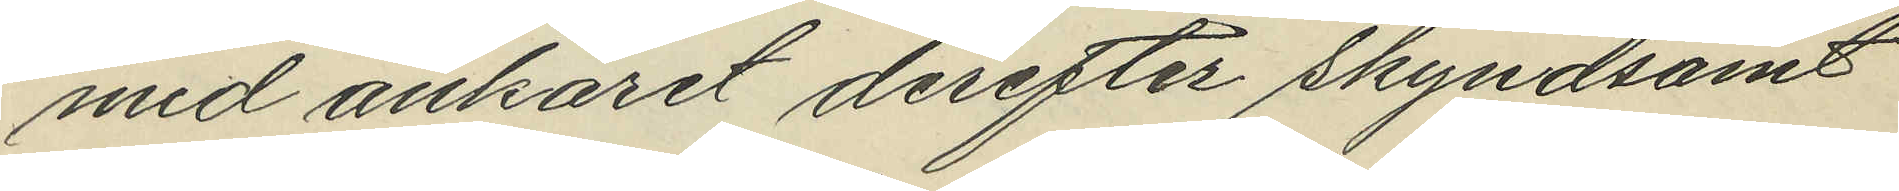med ankaret derefter skyndsamt
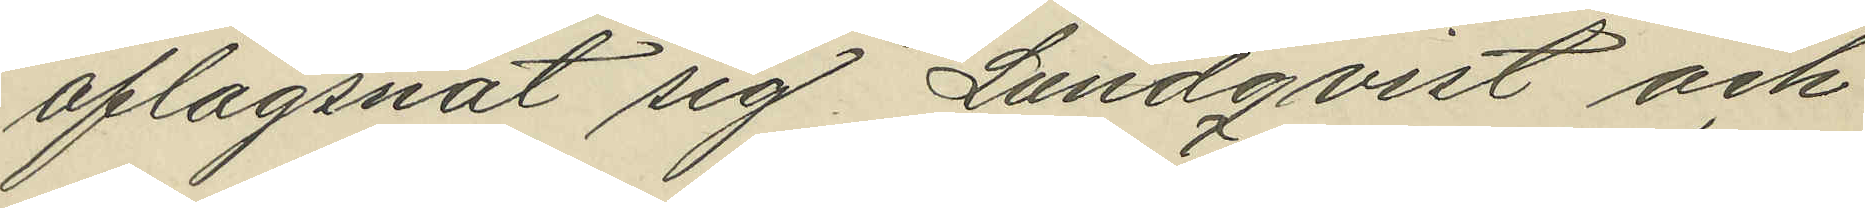aflägsnat sig Lundqvist och
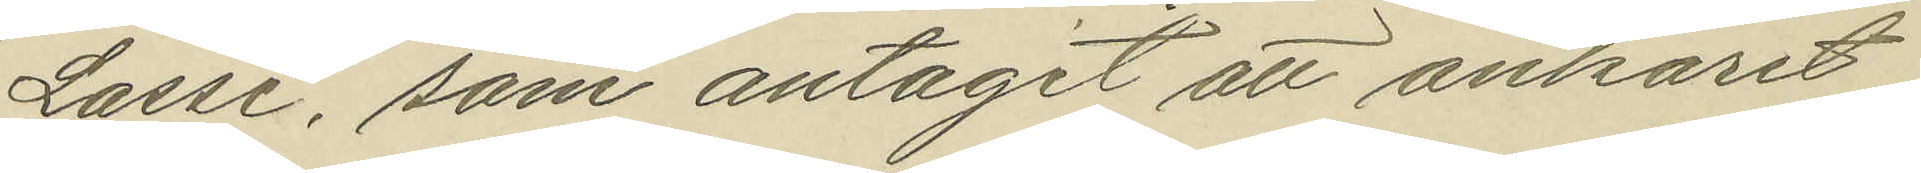Lasse, som antagit att ankaret
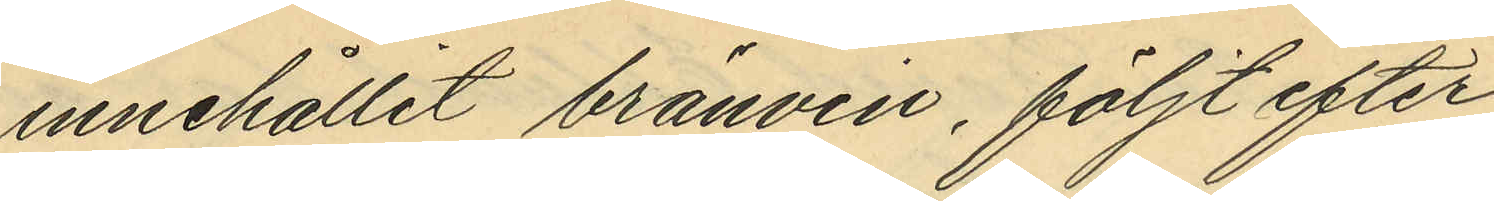innehållit bränvin, följt efter
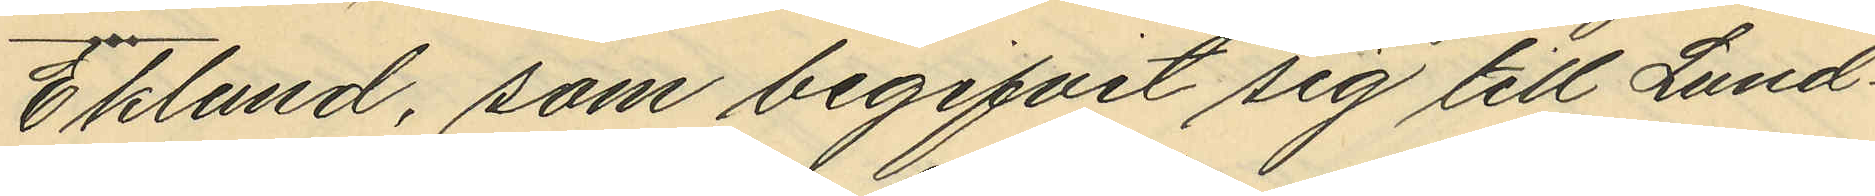Eklund, som begifvit sig till Lund¬
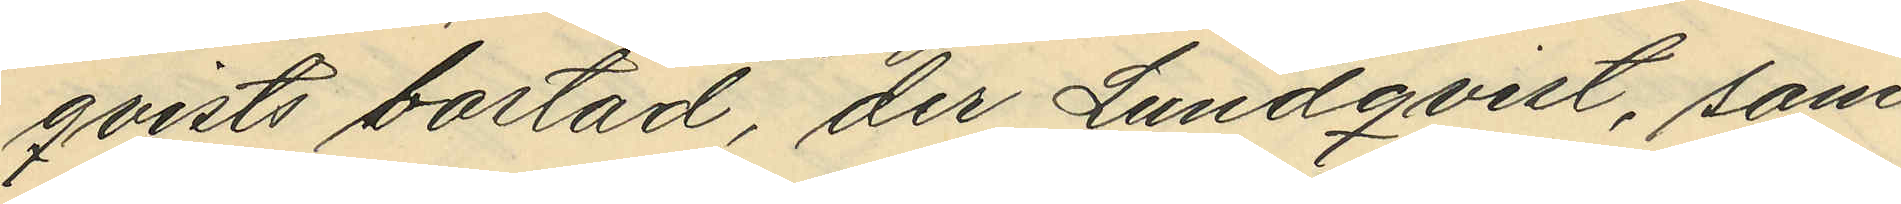qvists bostad, der Lundqvist, som
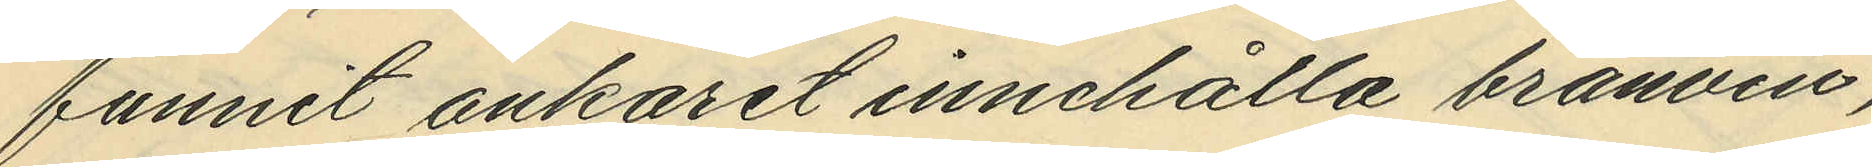funnit ankaret innehålla bränvin,
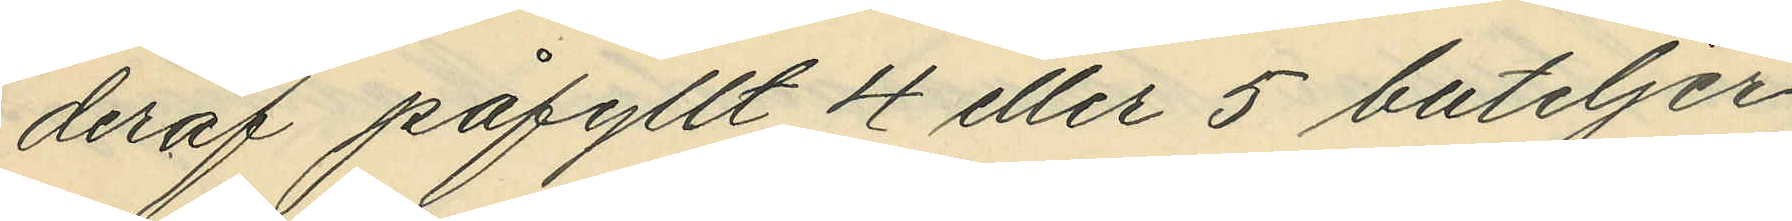deraf påfyllt 4 eller 5 buteljer
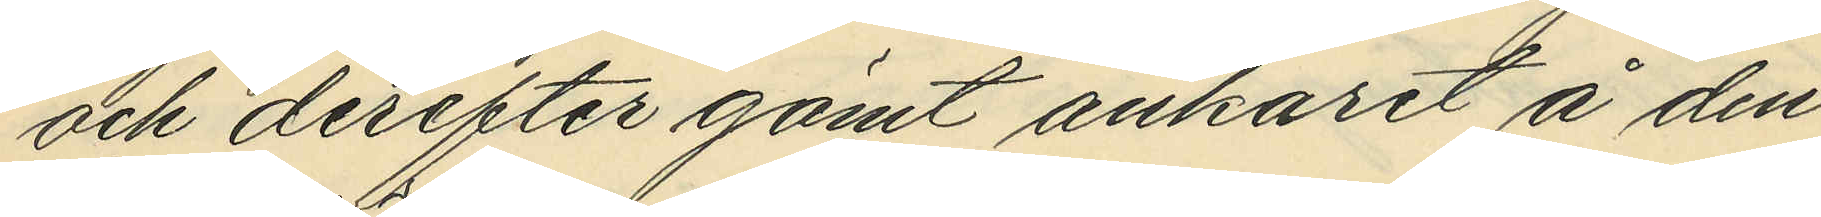och derefter gömt ankaret å den
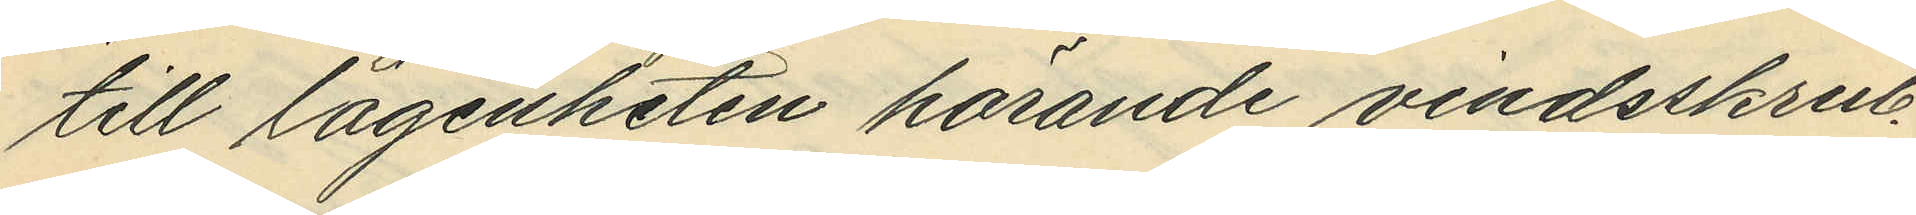till lägenheten hörande vindsskrub¬
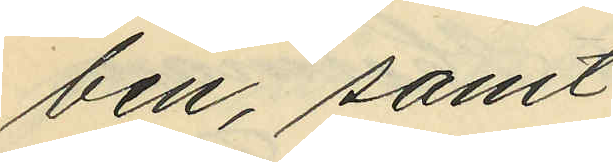ben, samt
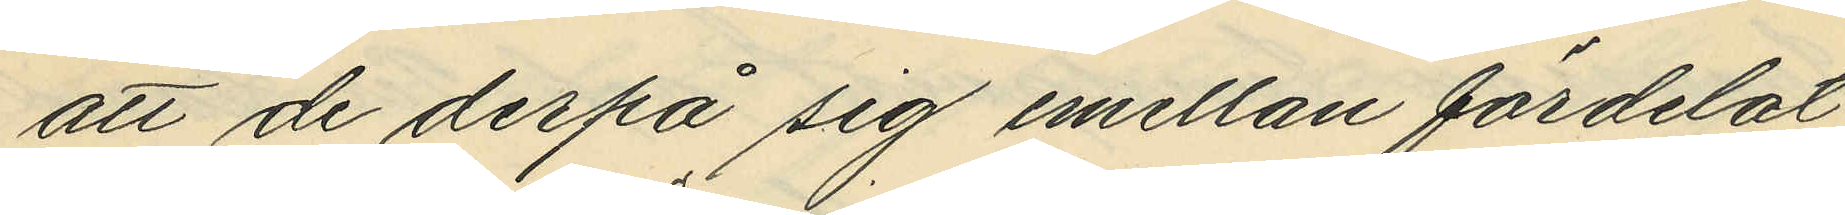att de derpå sig emellan fördelat
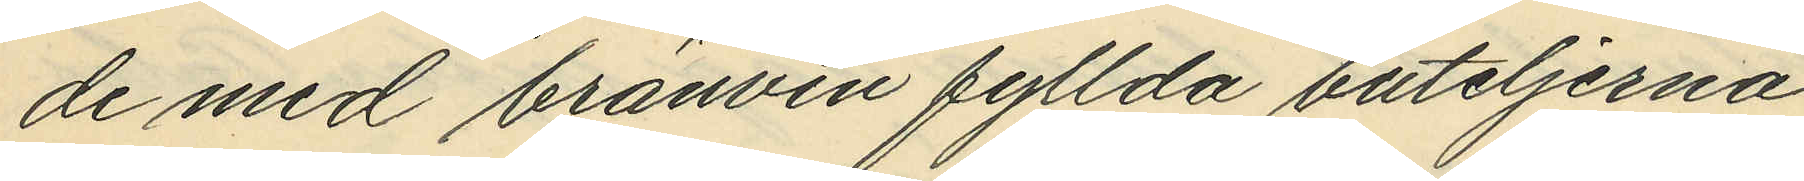de med bränvin fyllda buteljerna
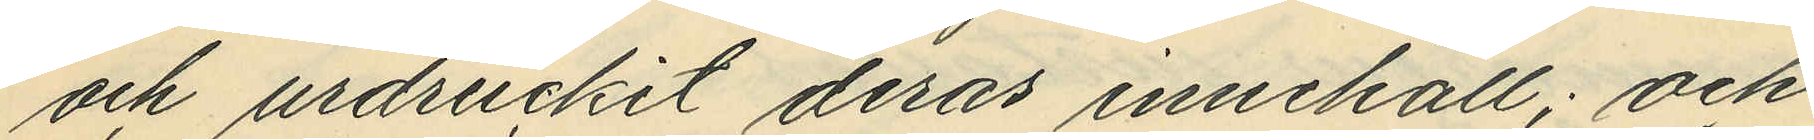och urdruckit deras innehåll; och
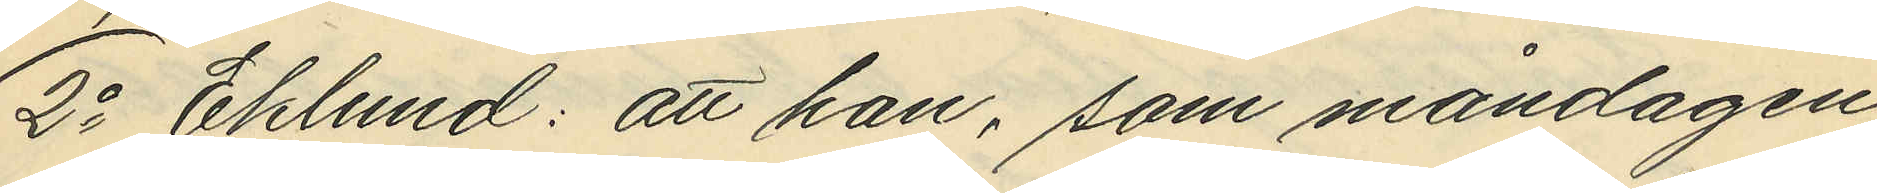2o Eklund: att han, som måndagen
